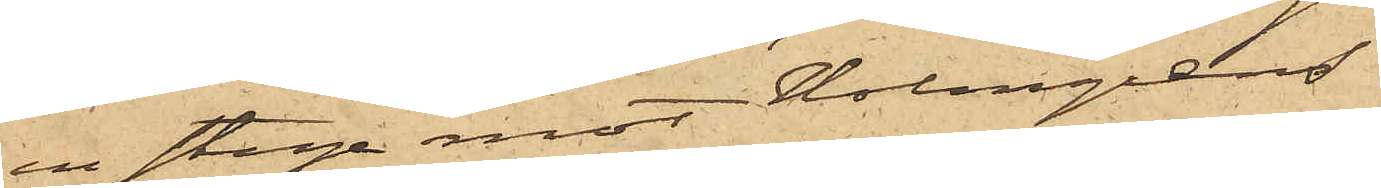en stege mot Holmgrens
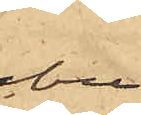bu¬
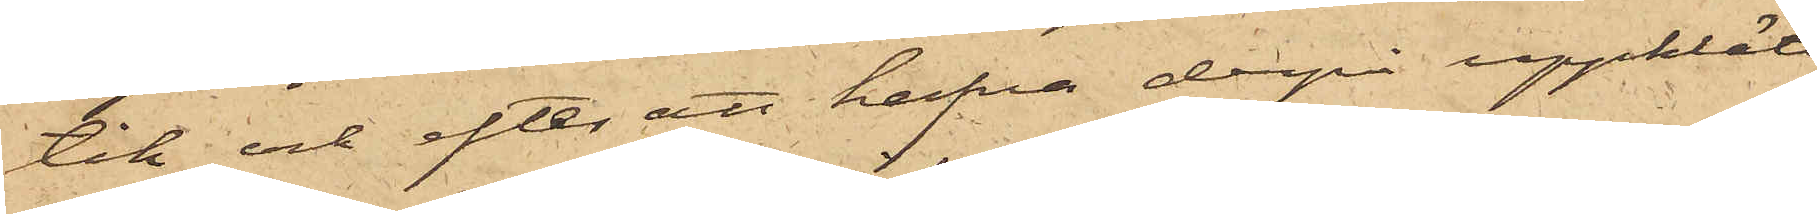tik och efter att hafva derpå uppklätt¬
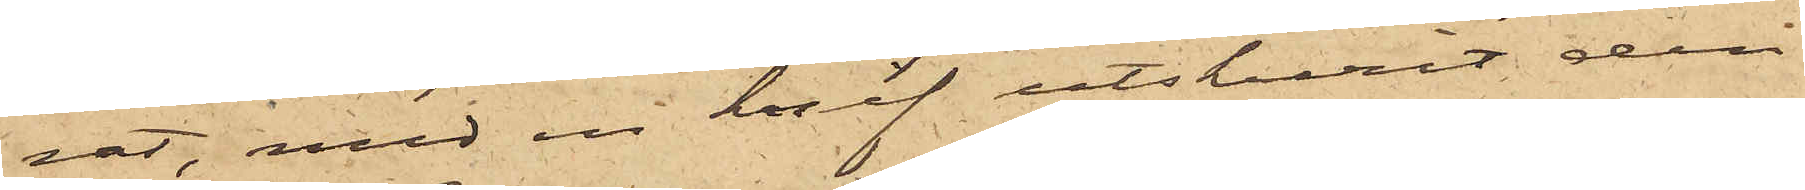rat, med en knif utskurit den
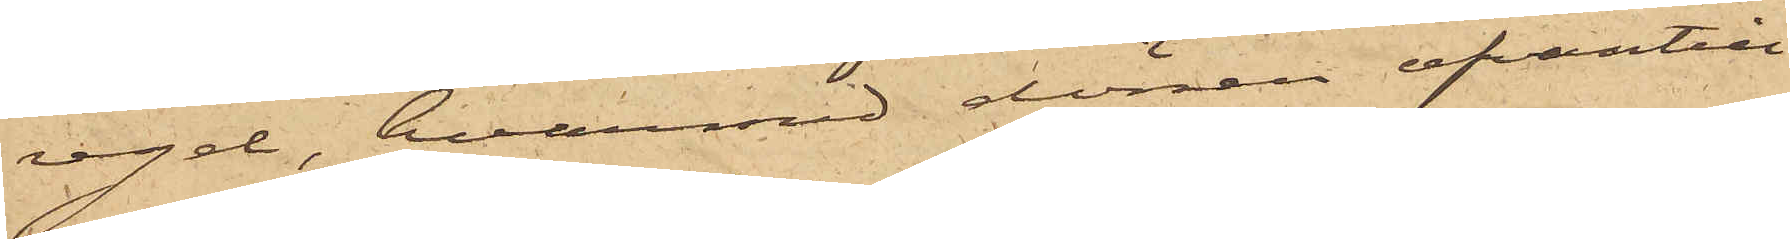regel, hvarmed dörren ofvantill
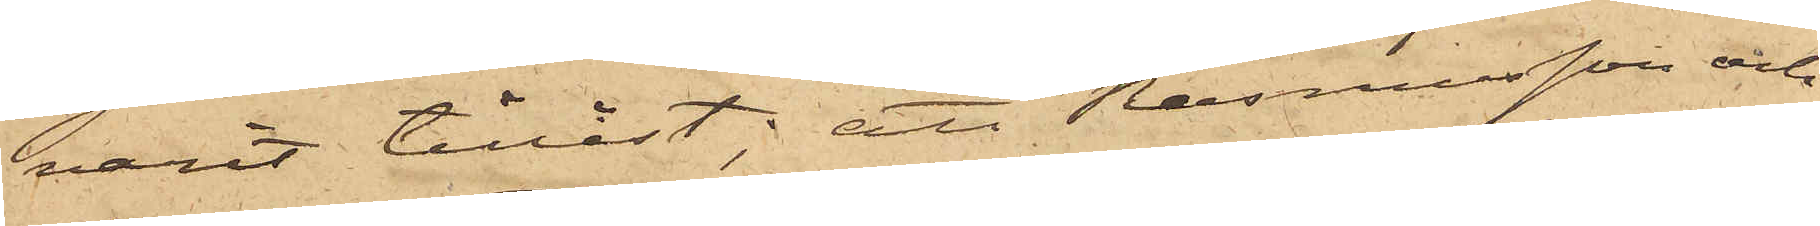varit tillåst; att Rasmusson och
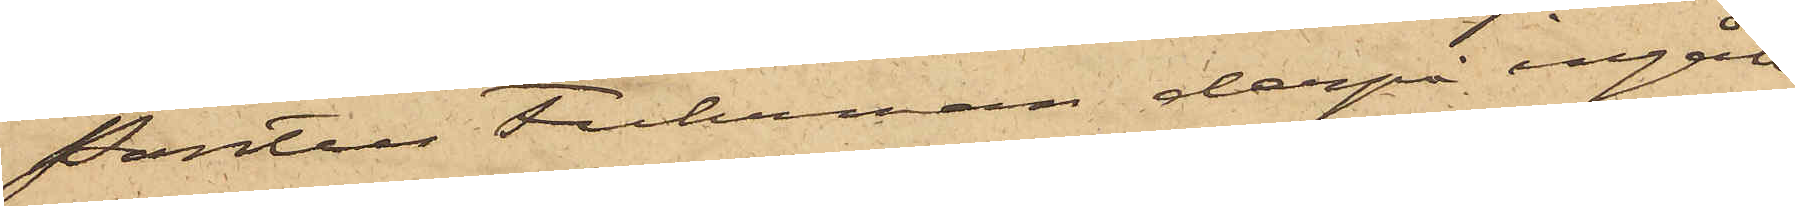Pontus Fuhrman derpå ingått
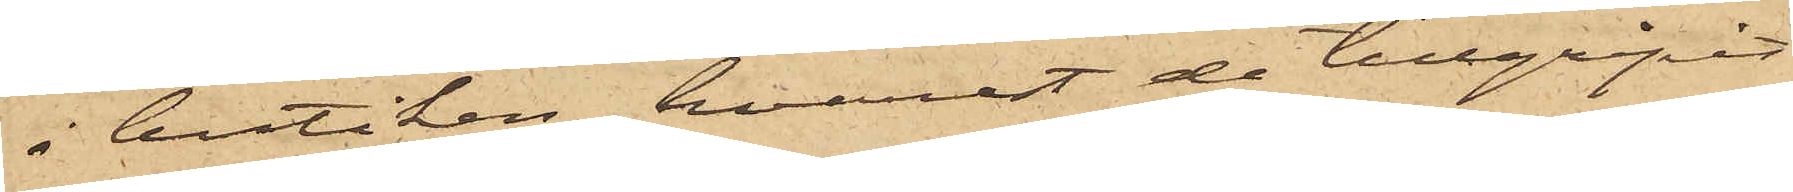i butiken, hvarest de tillgripit
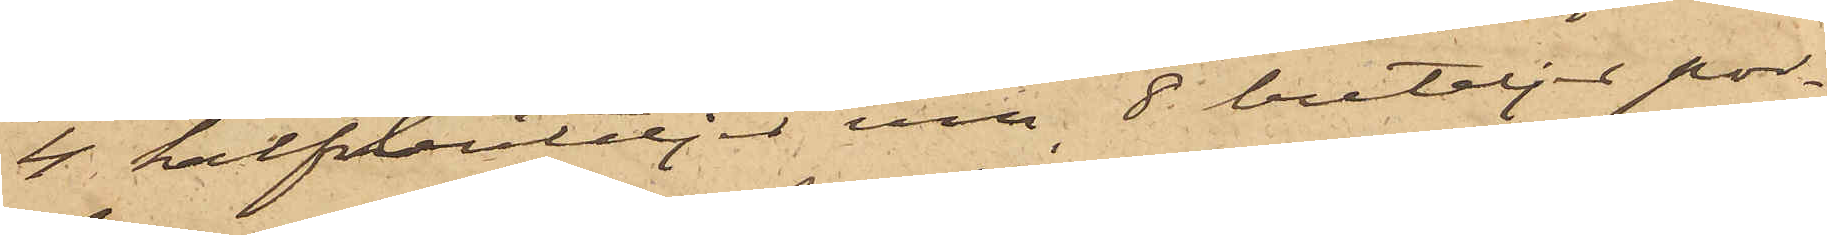4 halfbuteljer vin, 8 buteljer por¬
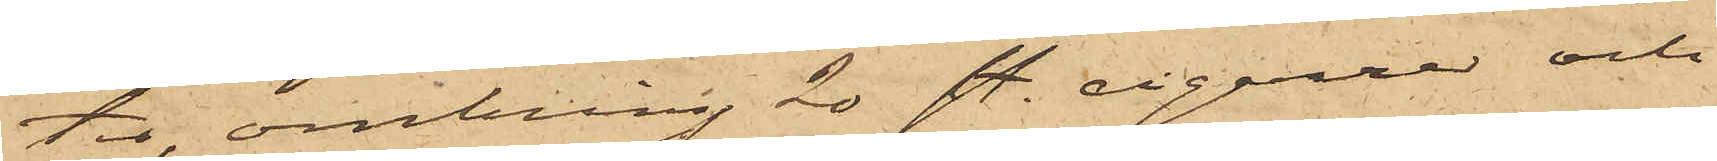ter, omkring 20 sty. cigarrer och
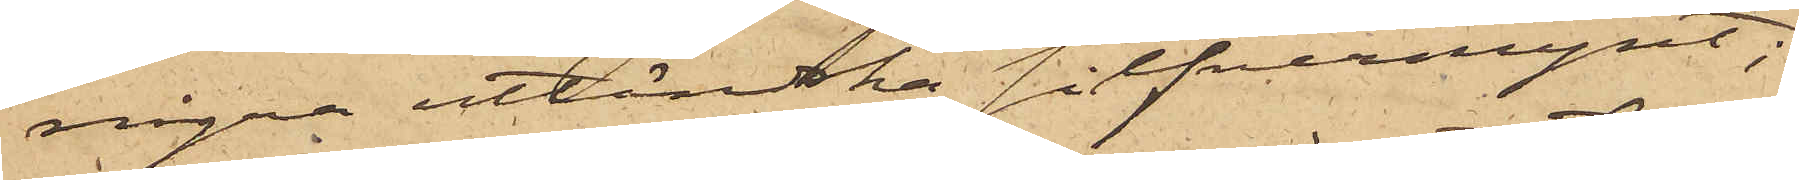några utlänska silfvermynt;
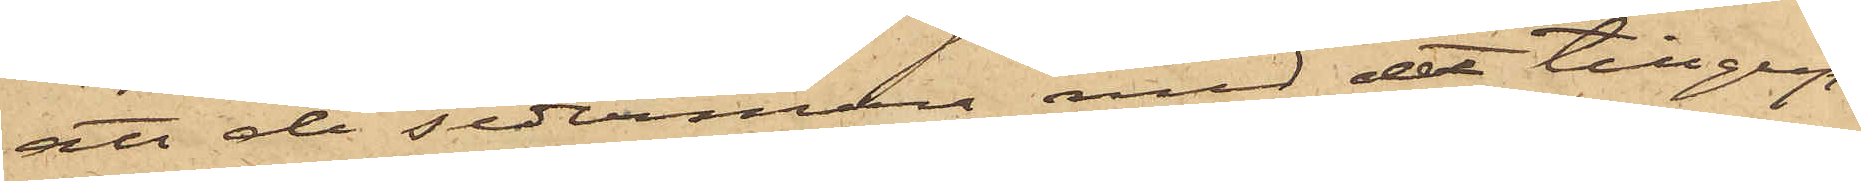att de sedermera med det tillgrip¬
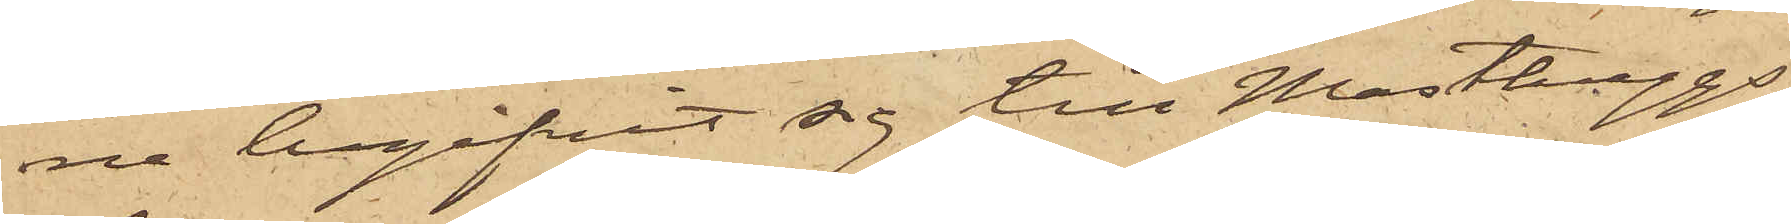ne begifvit sig till Masthuggs¬
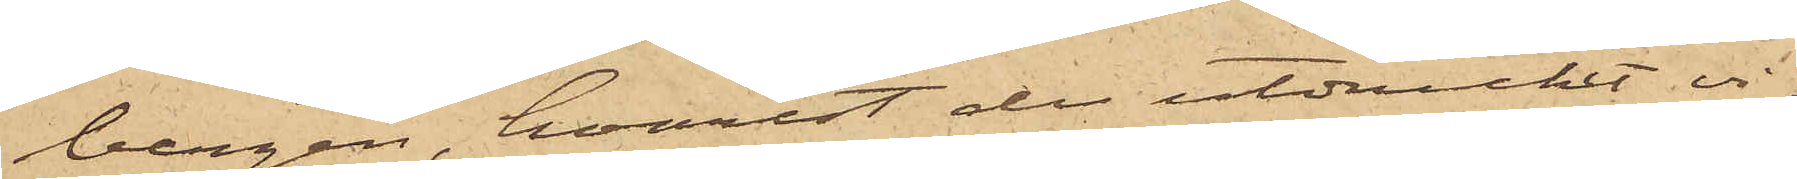bergen, hvarest de utdrucket vi¬
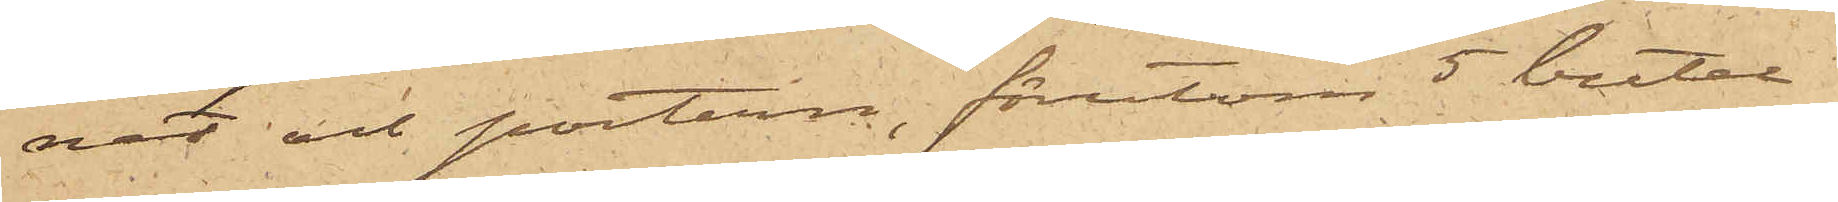net och portern, förutom 5 butel¬
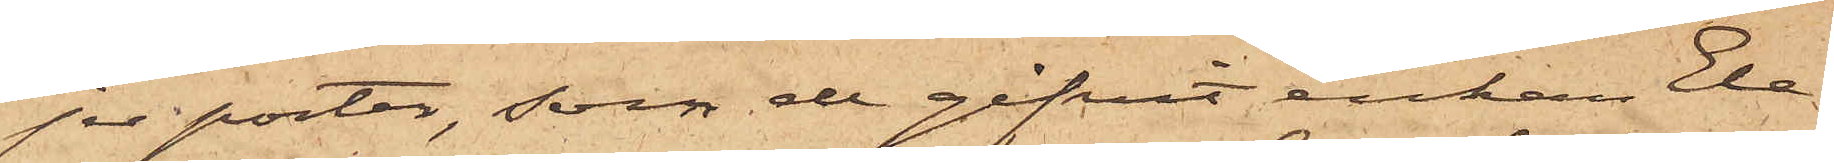jer porter, som de gifvit enkan Ele¬
